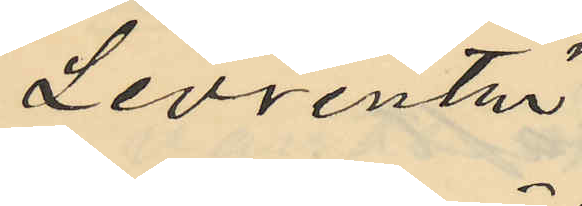Levrentz
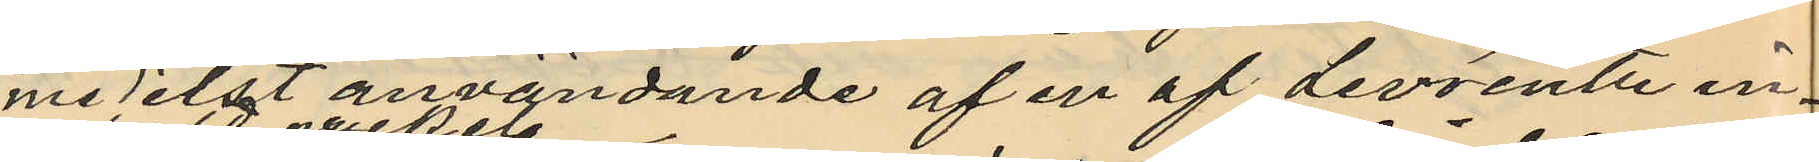medelst användande af en af Levrentz in¬
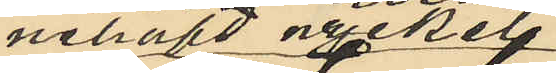nehafd nyckel
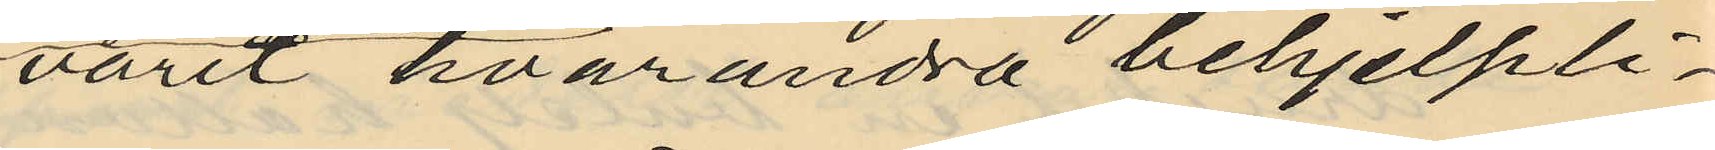varit hvarandra behjelpli¬
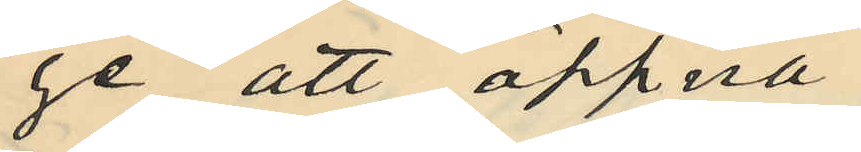ge att öppna
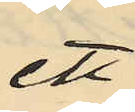ett
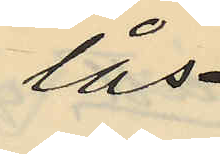lås
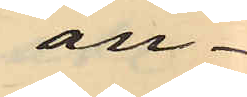an¬
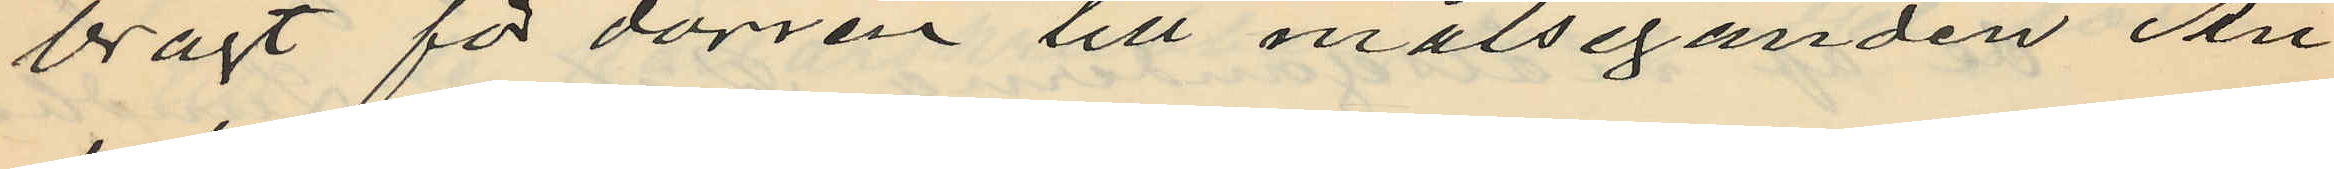bragt för dörren till målseganden An¬
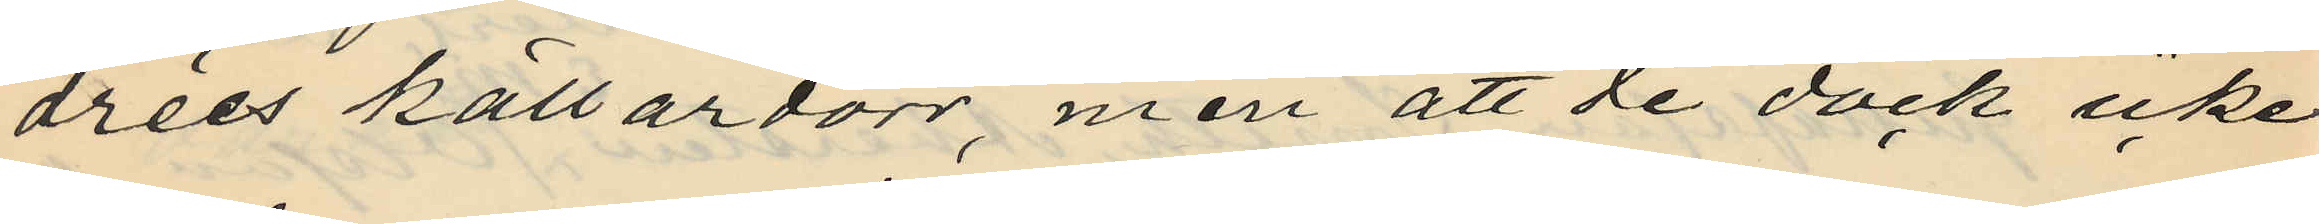drées källardörr, men att de dock icke
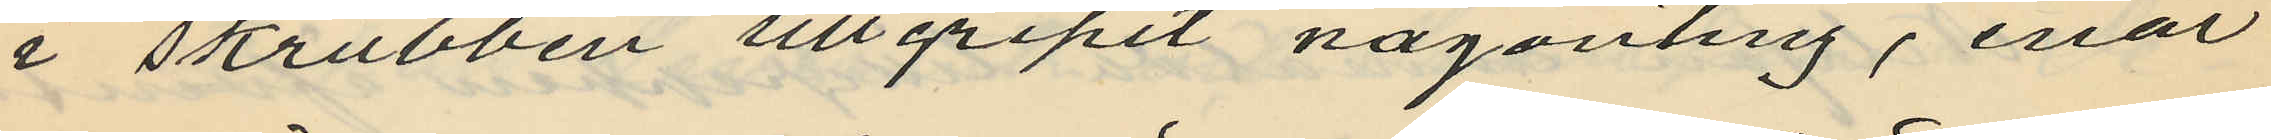i skrubben tillgripit någonting, enär
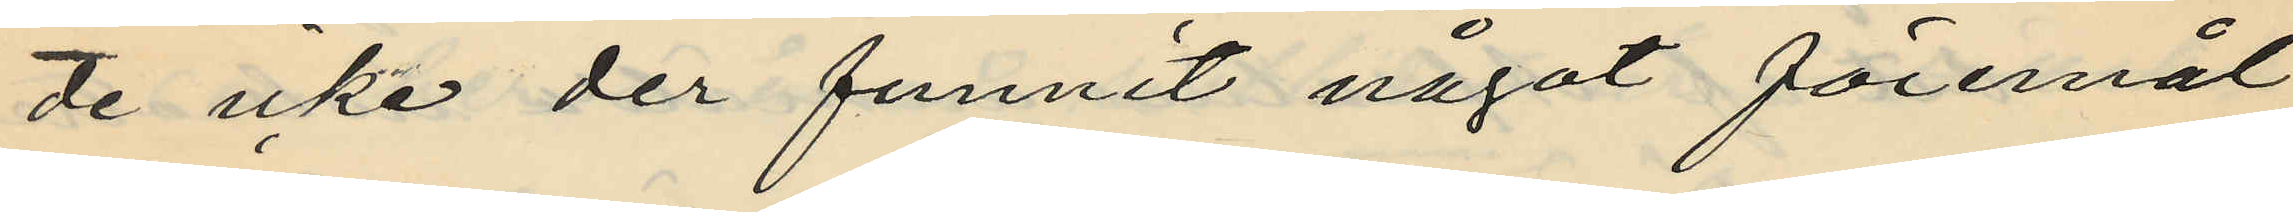de icke der funnit något föremål
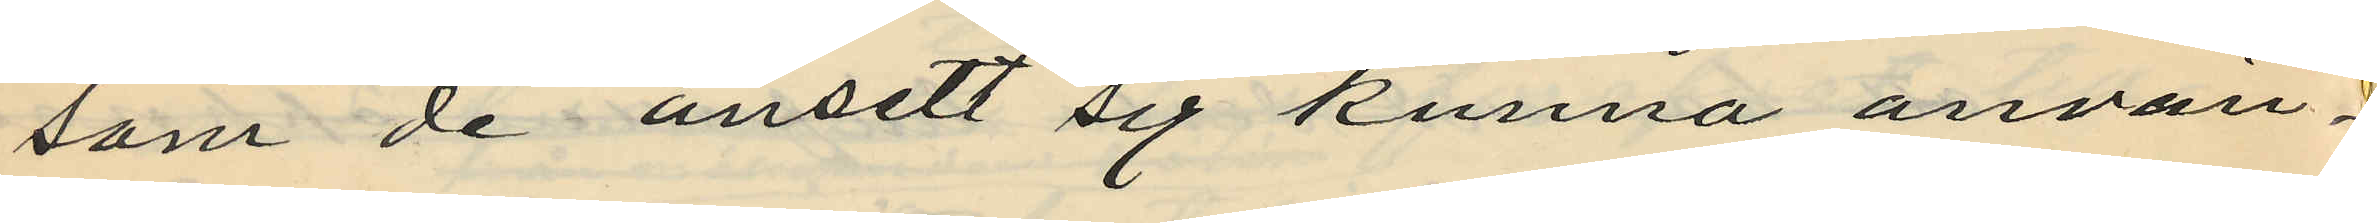som de ansett sig kunna använ¬
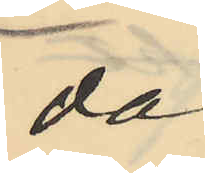da;
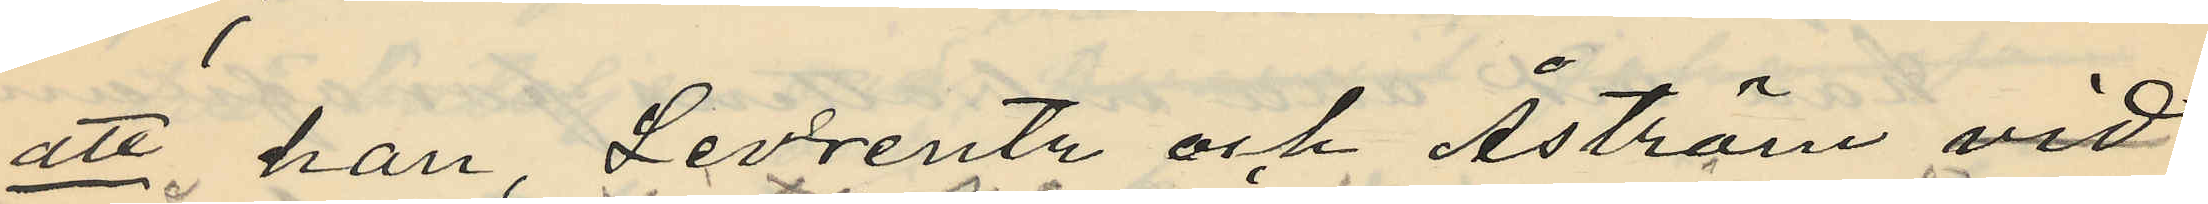att han Levrentz och Åström vid
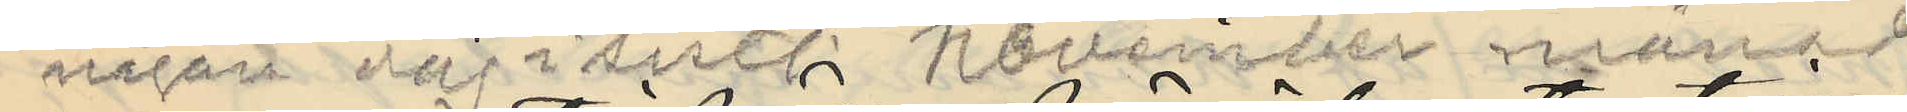någon dag i sistl. November månad
